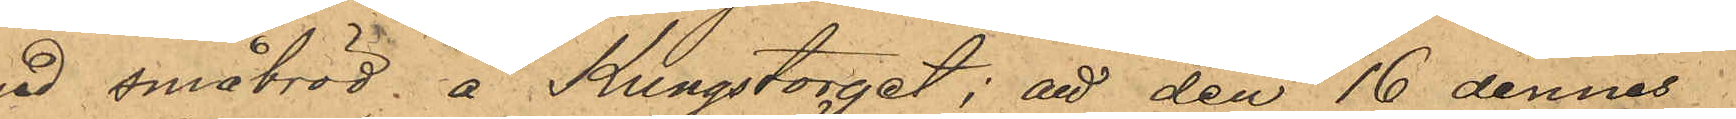med småbröd å Kungstorget; att den 16 dennes
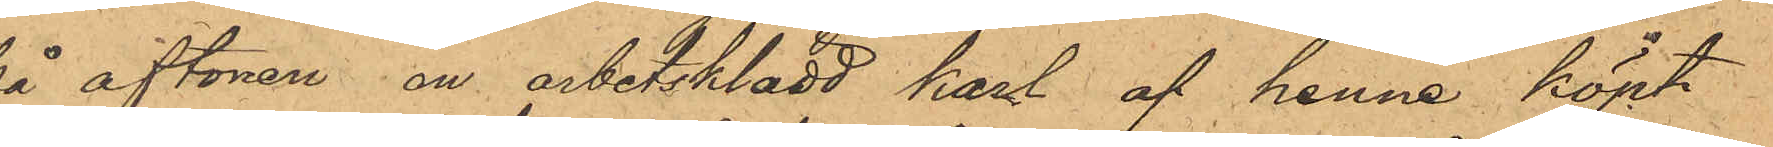på aftonen en arbetsklädd karl af henne köpt
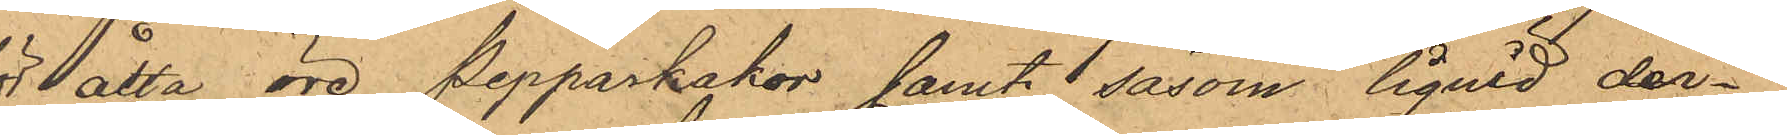för åtta öre pepparkakor samt såsom liquid der¬
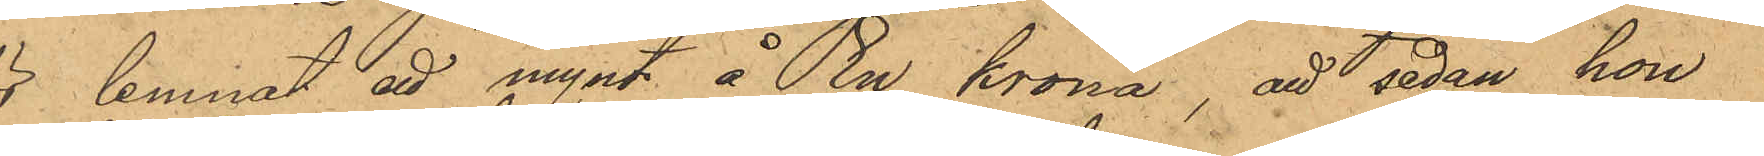för lemnat att mynt å En krona; att sedan hon
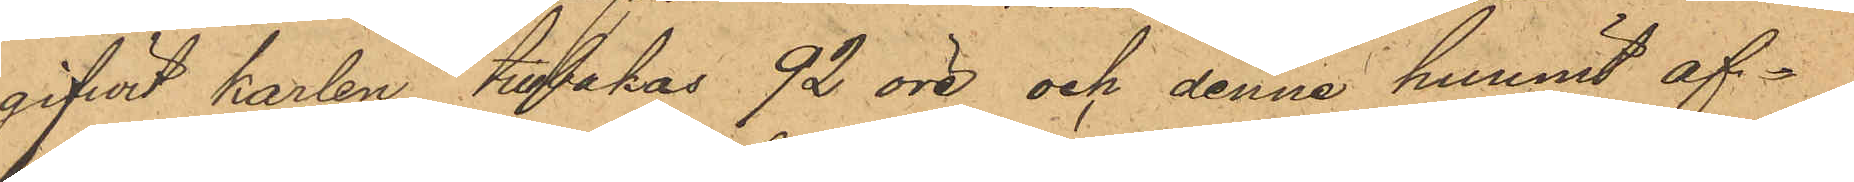 gifwit karlen tillbakas 92 öre och denne hunnit af¬
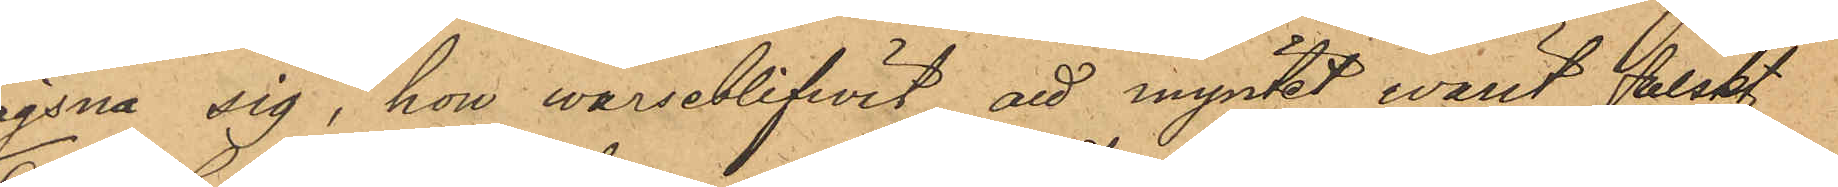lägsna sig, hon warseblifwit att myntet varit falskt,
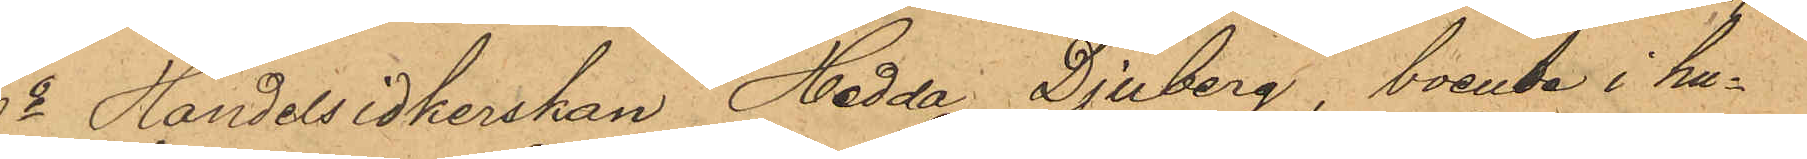6o Handelsidkerskan Hedda Djuberg, boende i hu¬
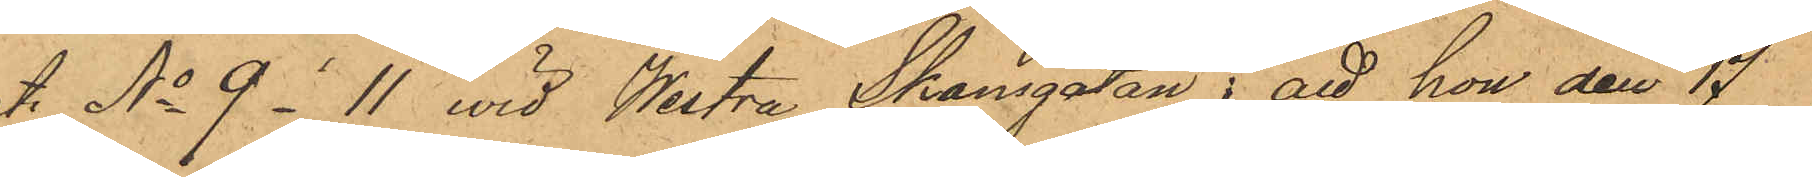set No 9 - 11 wid Westra Skansgatan; att hon den 17
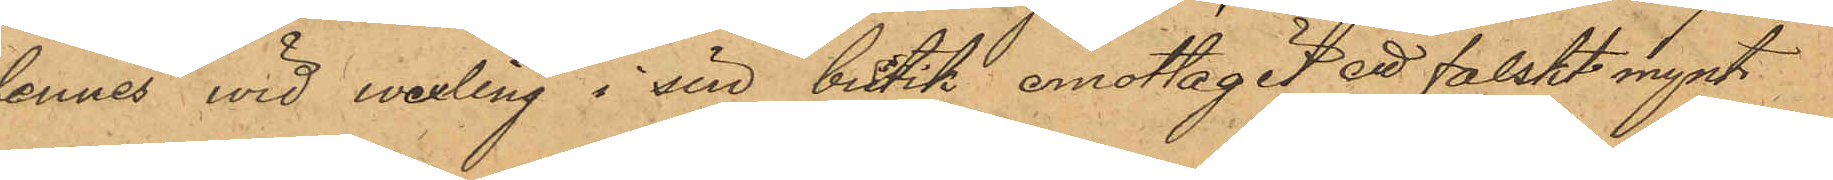dennes vid wexling i sin butik, emottagit ett falskt mynt
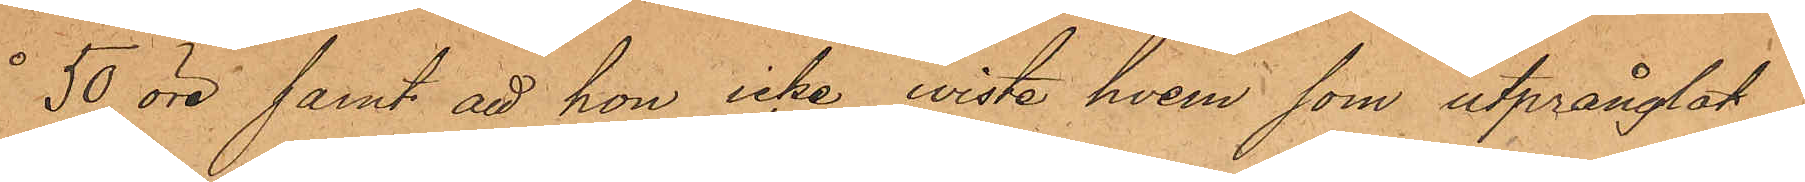å 50 öre samt att hon icke wiste hvem, som utprånglat
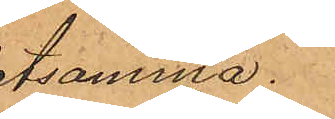detsamma.
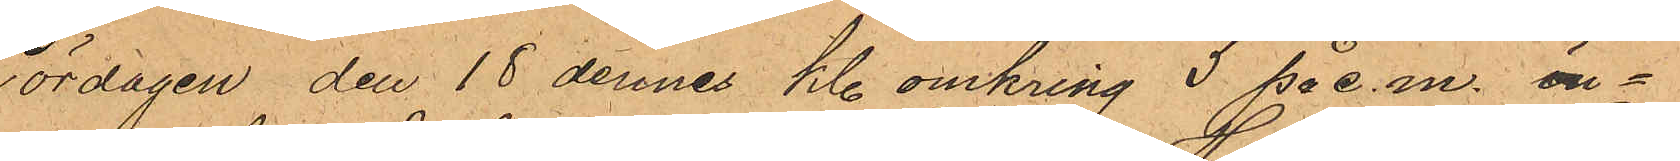Lördagen den 18 dennes kl. omkring 5 på e. m. in¬
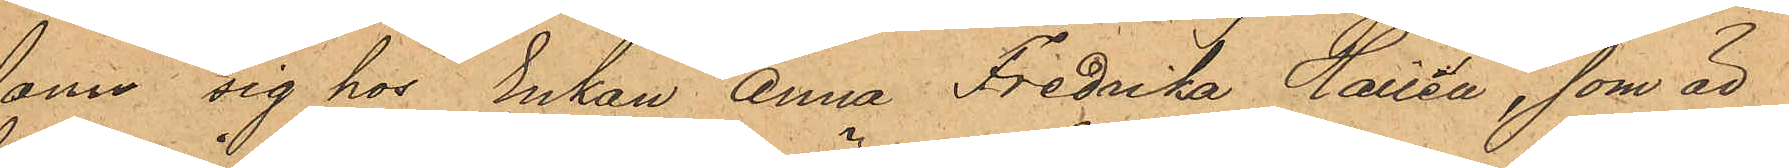fann sig hos Enkan Anna Fredrika Hallén, som är
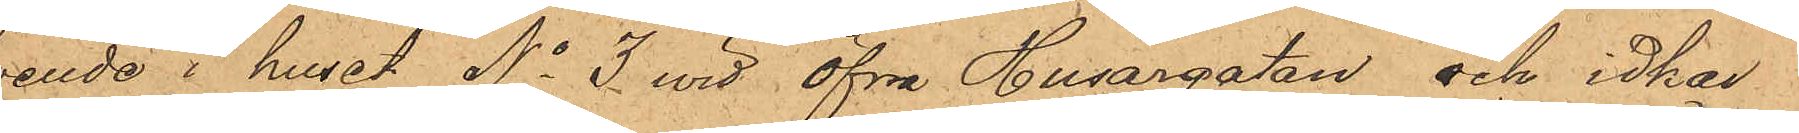boende i huset No 3 wid Öfra Husargatan och idkar
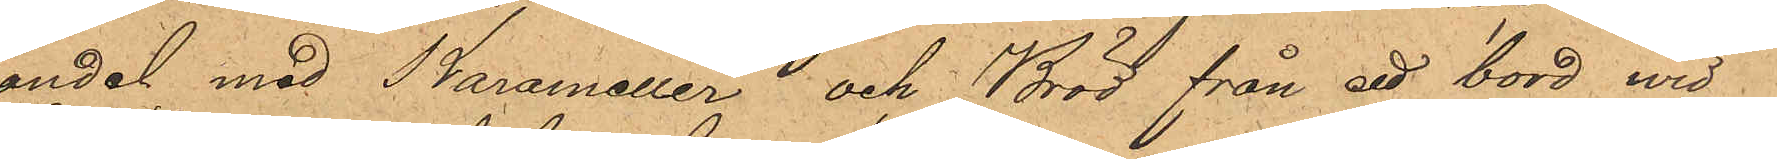handel med Karameller och Bröd från ett bord wid
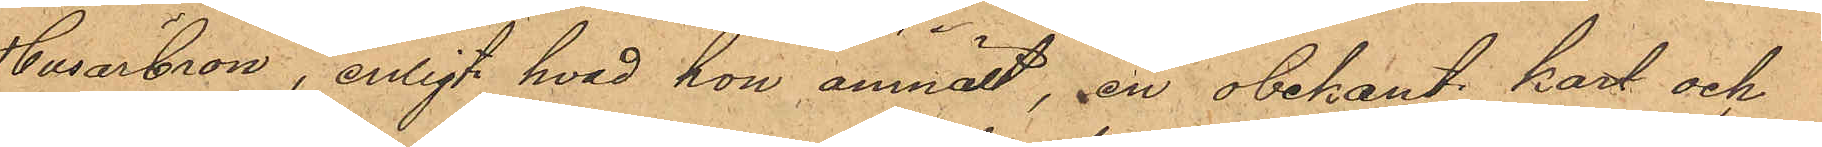Husarbron, enligt hvad hon anmält, en obekant karl och
